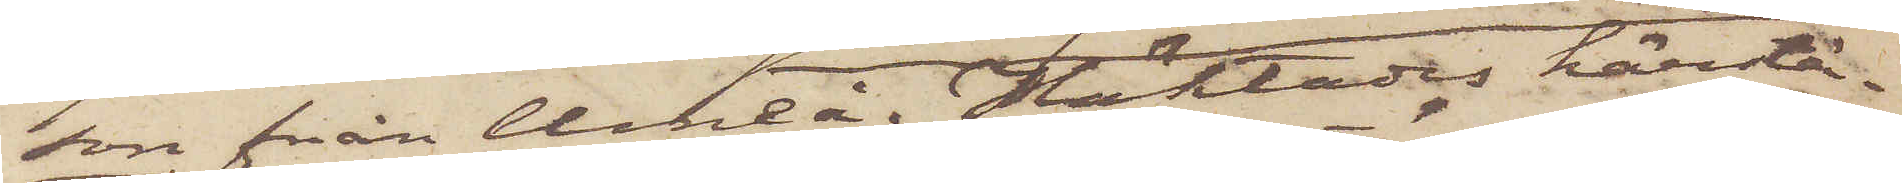son från Umeå. Häktades härstä¬
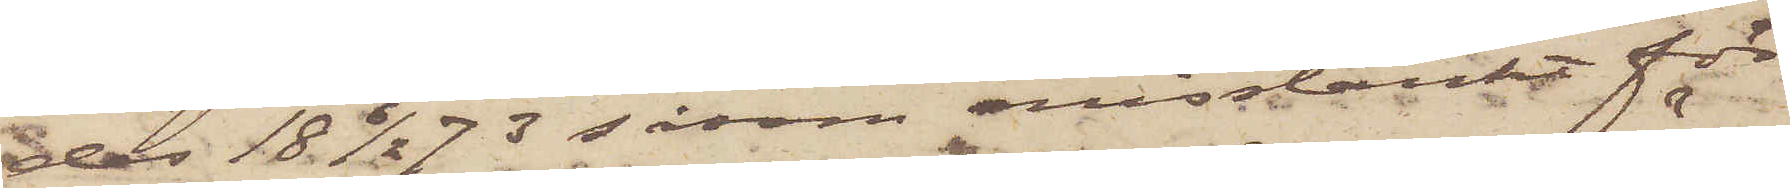der 18 6/2 73 såsom misstänkt för
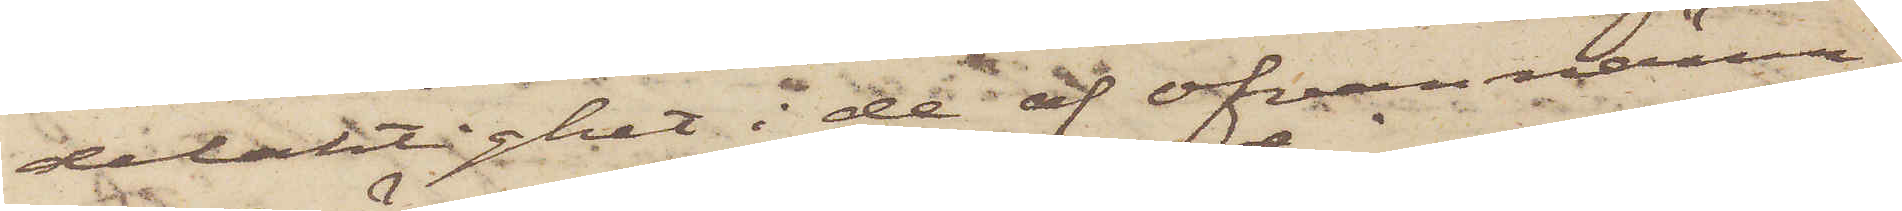delaktighet i de af ofvannämn¬
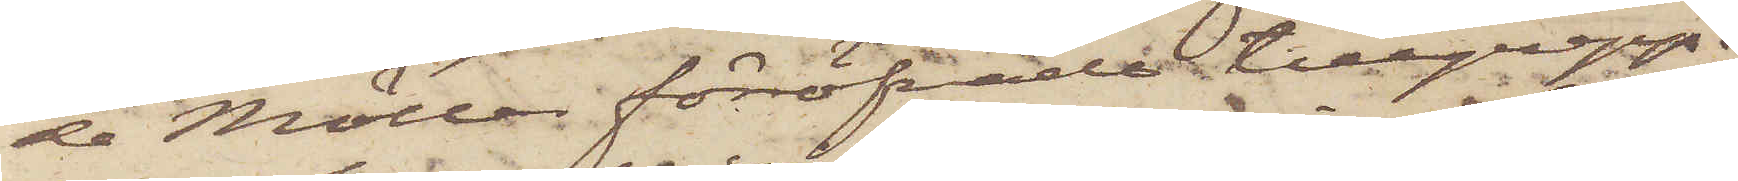de Möller föröfvade tillgrepp.
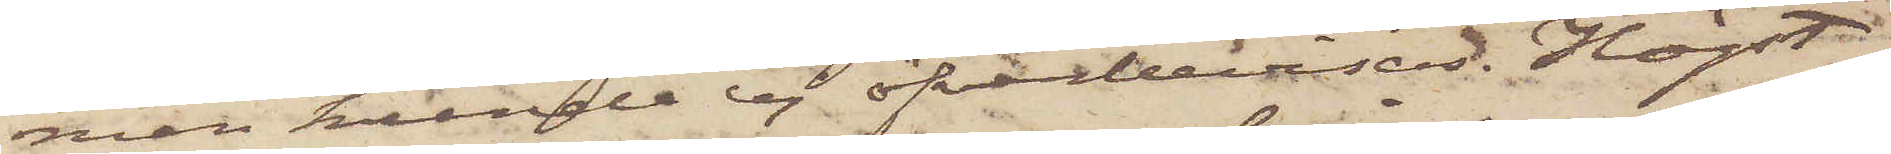men kunde ej öfverbevisas. Högst
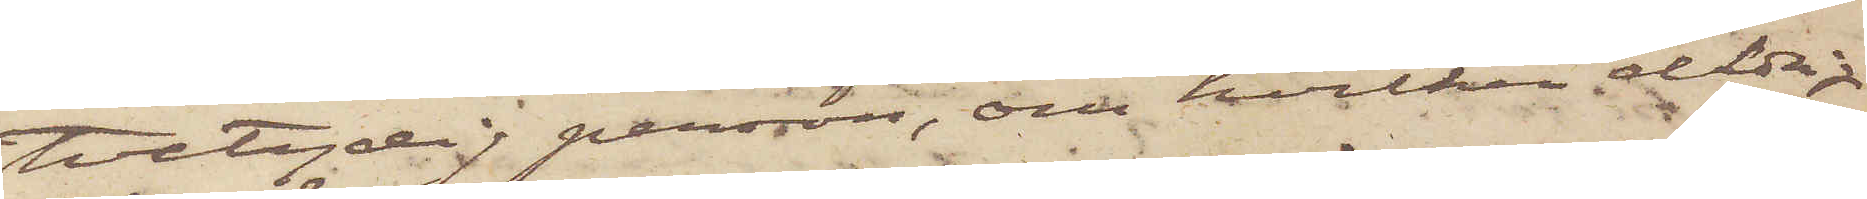tvetydlig person, om hvilken aldrig
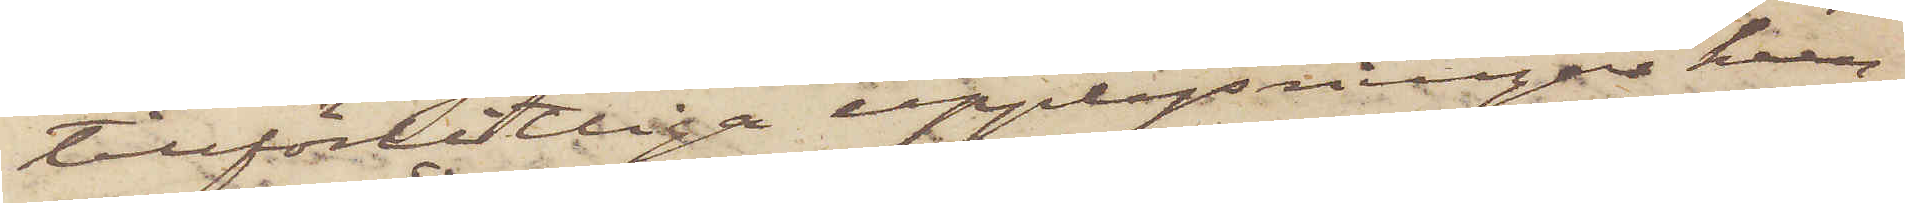tillförlitliga upplysningar kun¬
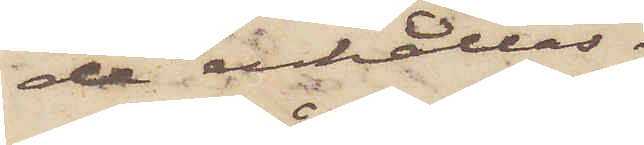de erhållas.
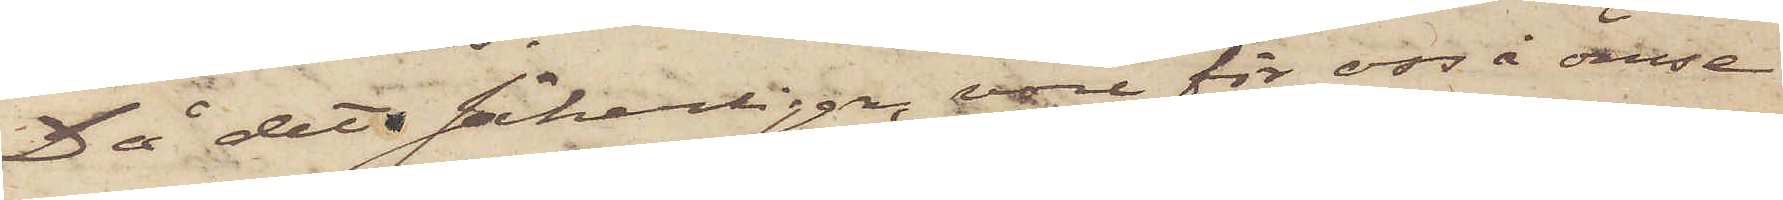Då det säkerligen vore för oss i ömse¬
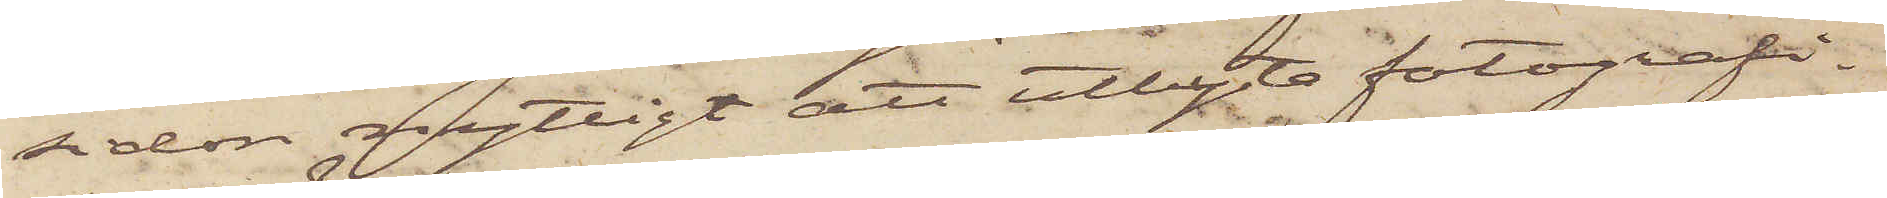sidan nyttigt att utbyta fotografi¬
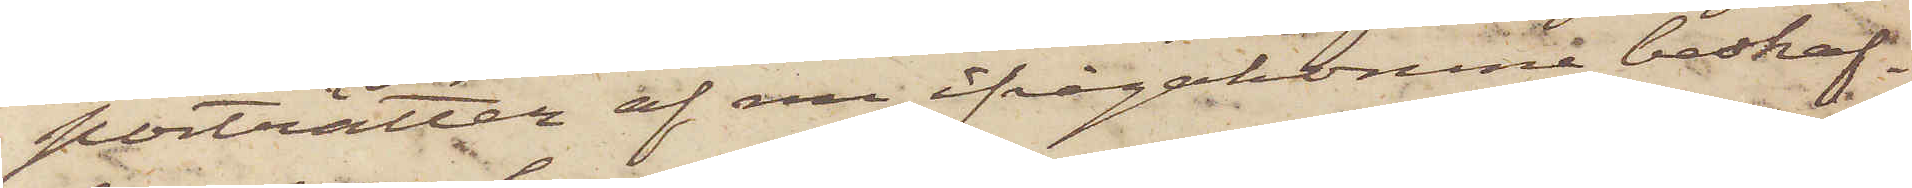porträtten af nu ifrågakomne beskaf¬
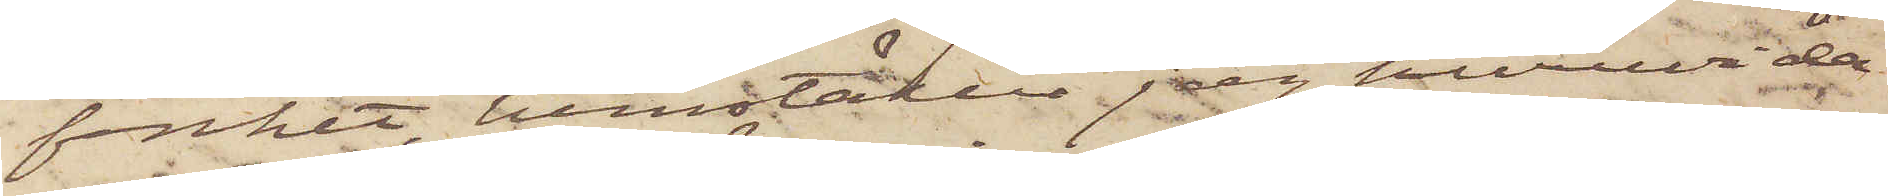fenhet, hemställer jag huruvida
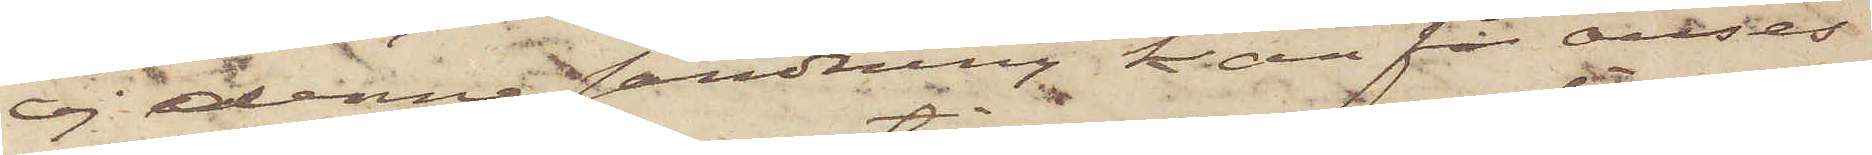ej denna sändning kan få anses
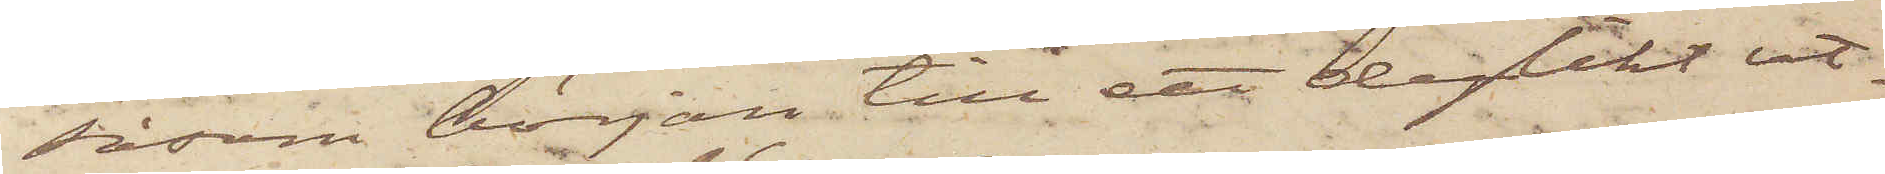såsom början till ett dylikt ut¬
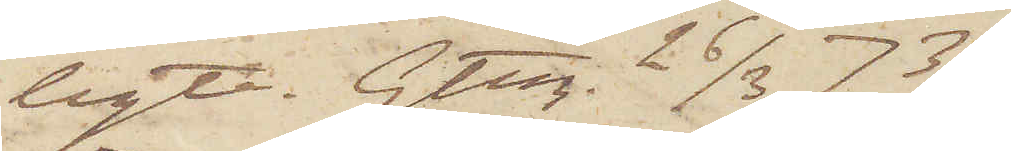byte. Gtbg. 26/3 1873.
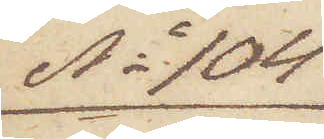No 104
